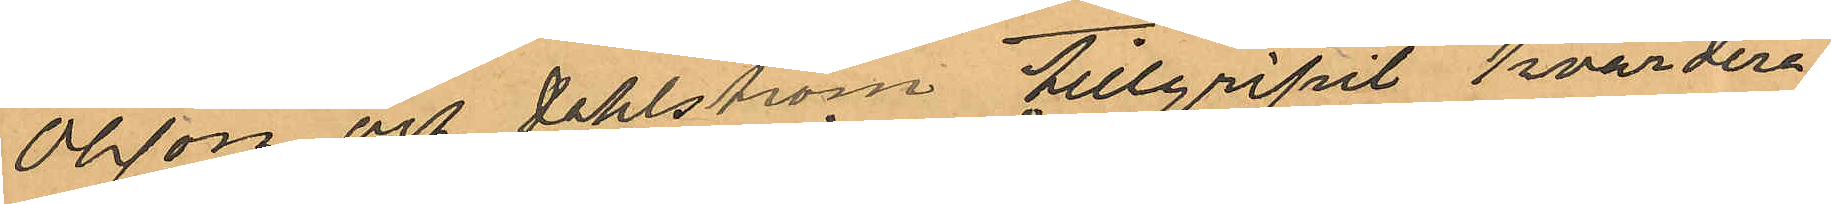Olsson och Dahlström tillgripit hvardera
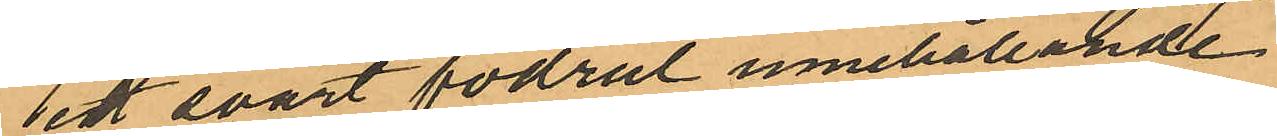ett svart fodral innehållande
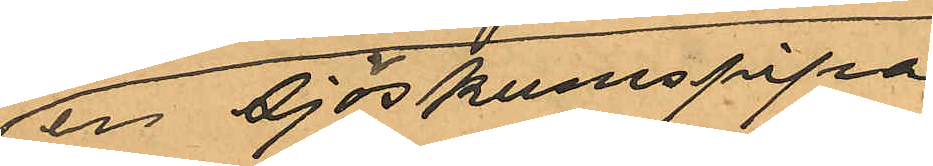en sjöskumspipa,
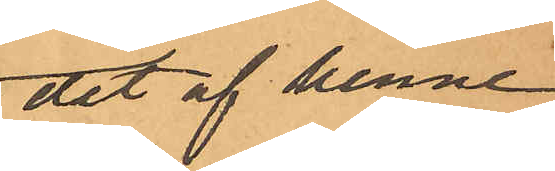att Olsson gifvit 
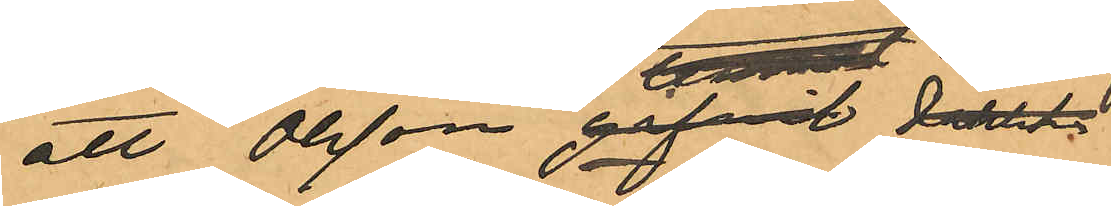det av henne
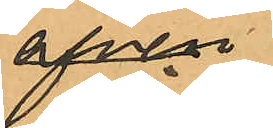äfven 
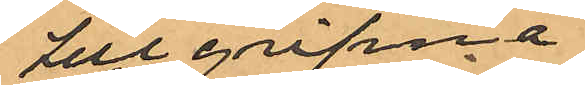tillgripna
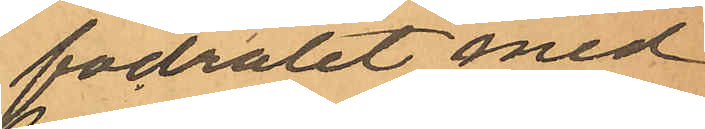fodralet med
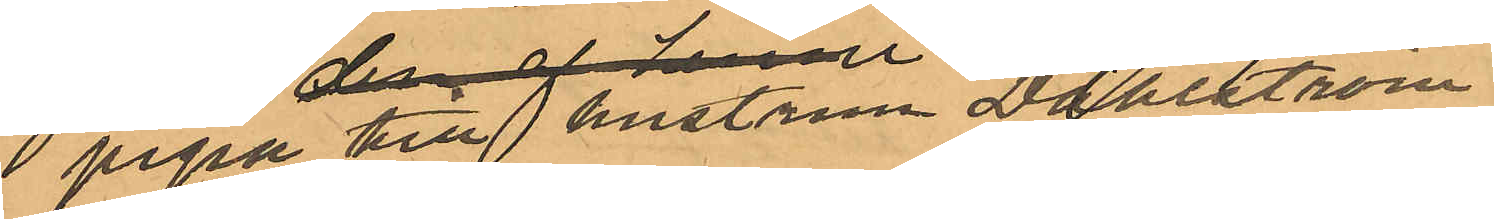pipa till hustrun Dahlström,
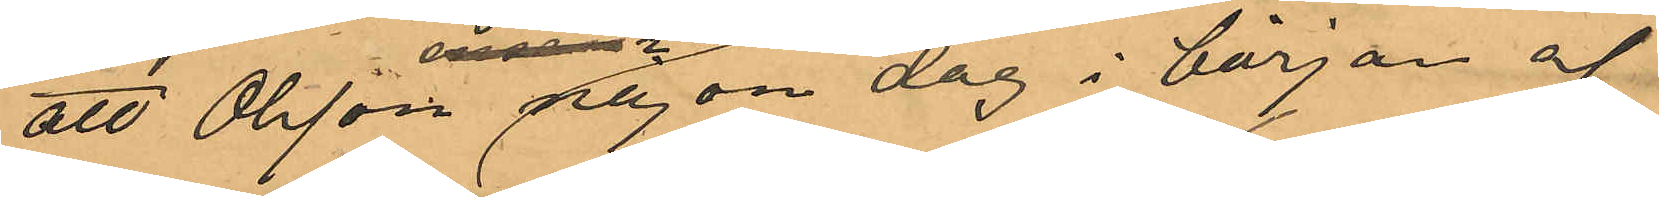att Olsson någon dag i början af
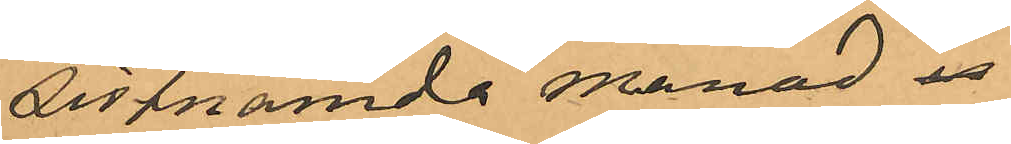sistnämnda månad
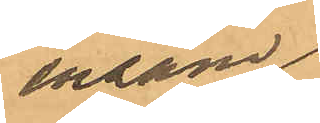ensam
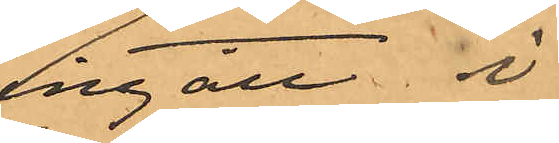ingått i
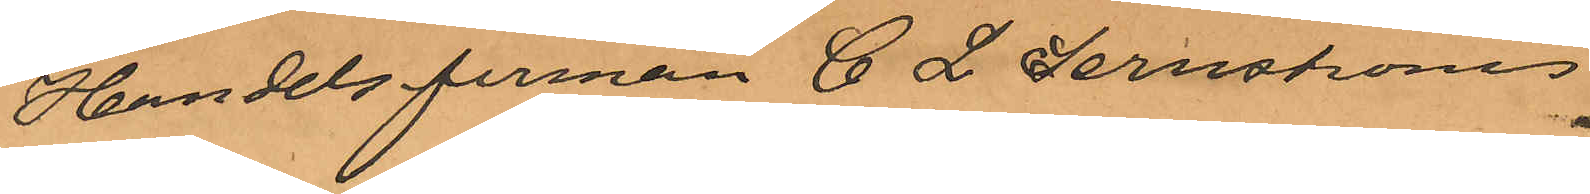Handelsfirman C. L. Lernströms
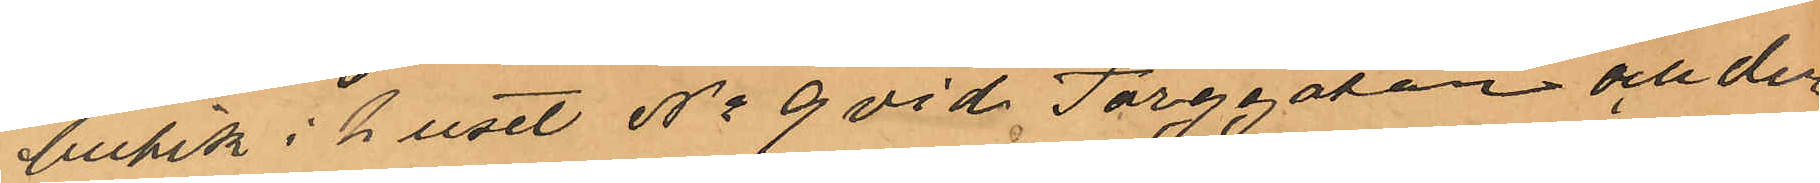bukik i huset No 9 vid Torggatan och der
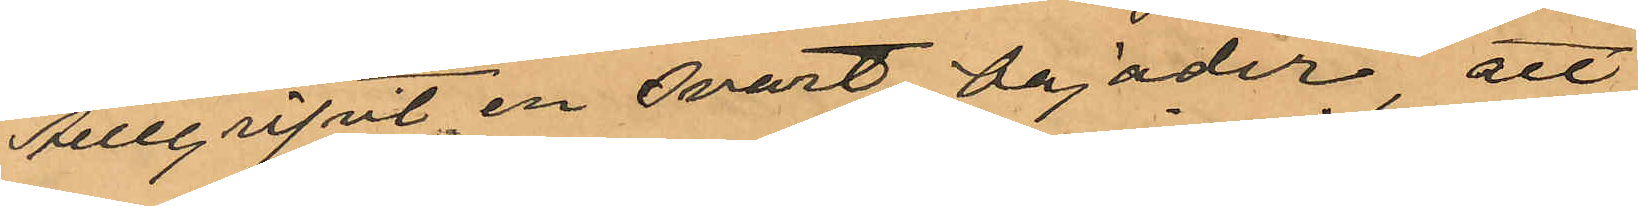tillgripit en svart bajader, att
